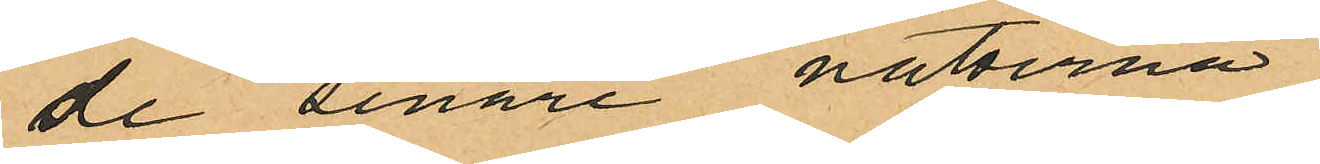de senare nätterna
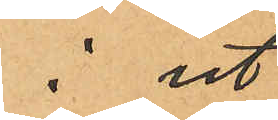i ut
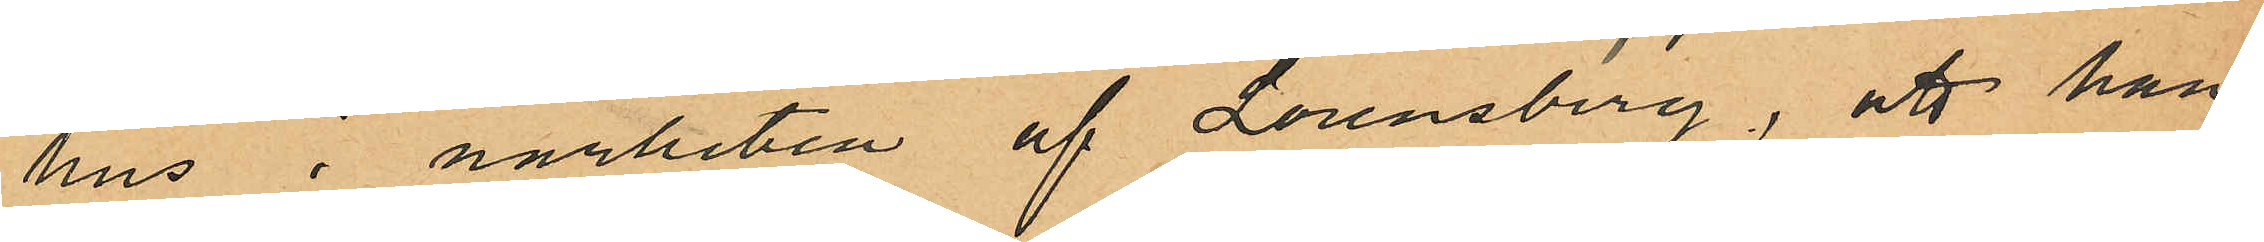hus i närheten af Lorensberg, att han
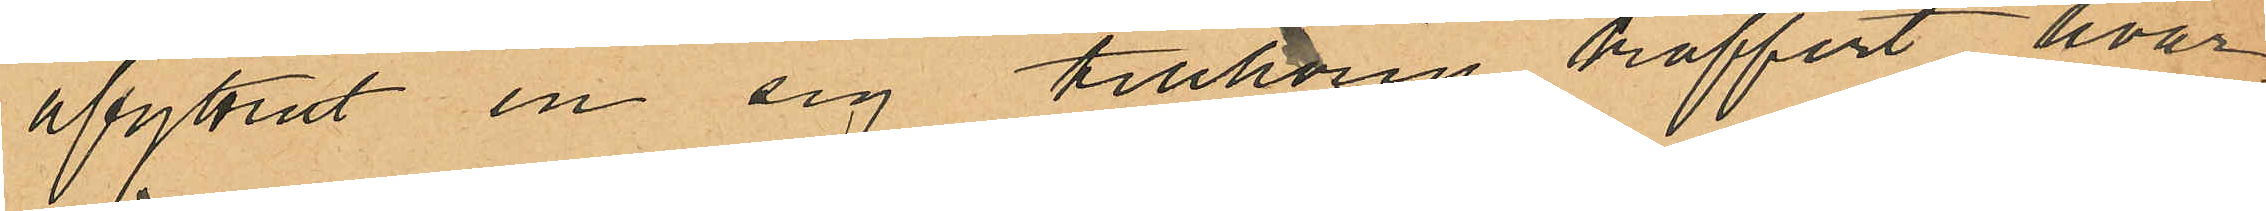afyttrat en sig tillhörig koffert hvar
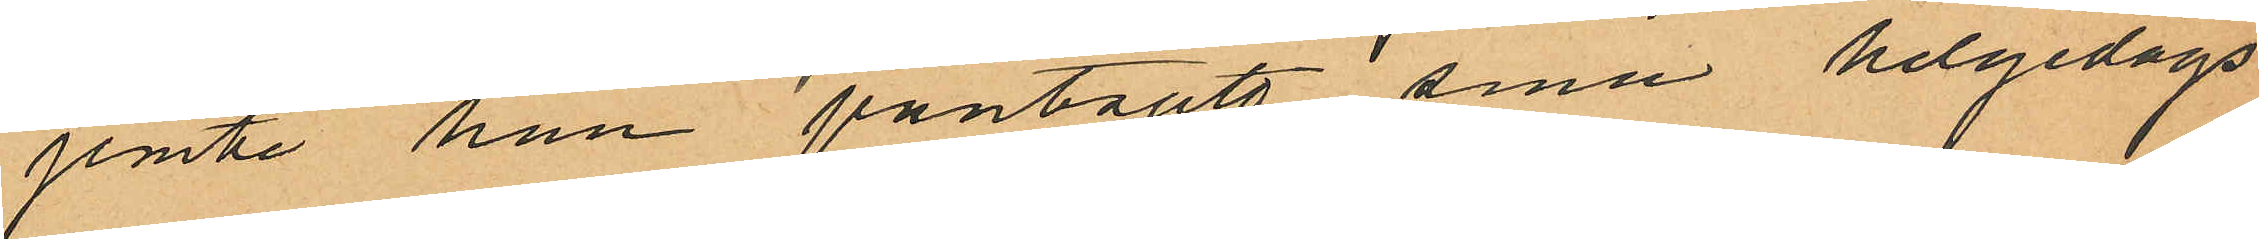jemte han pantsatt sina helgedags
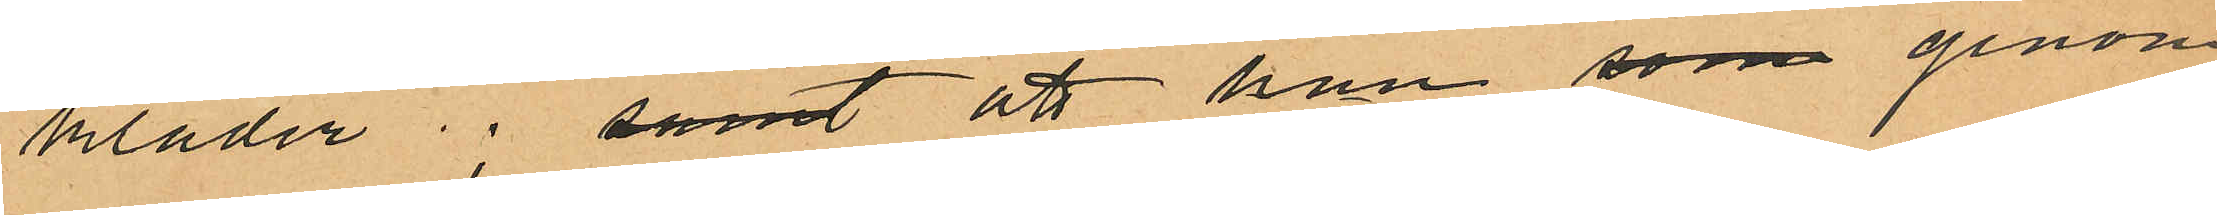kläder; samt att han som genom
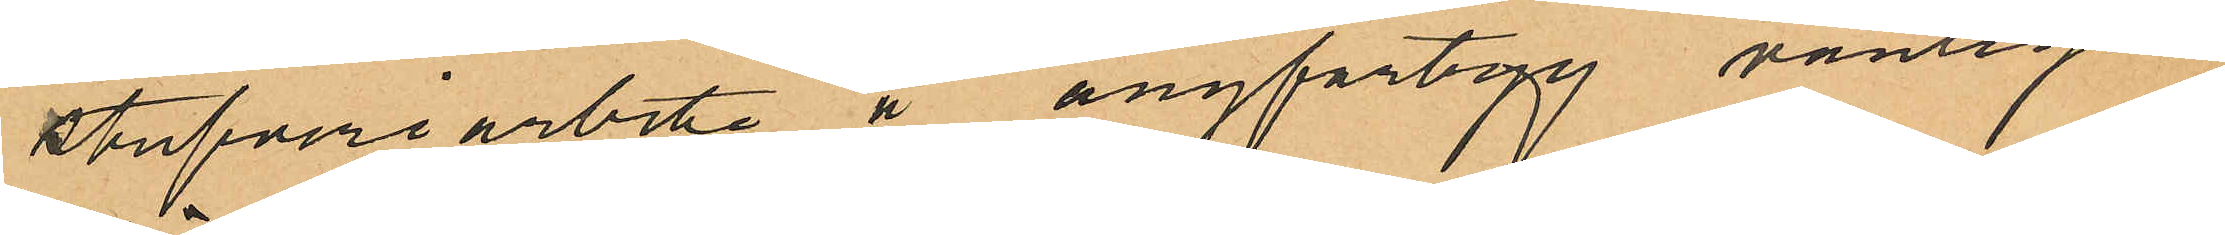stufveriarbete å ångfartygg vanligen
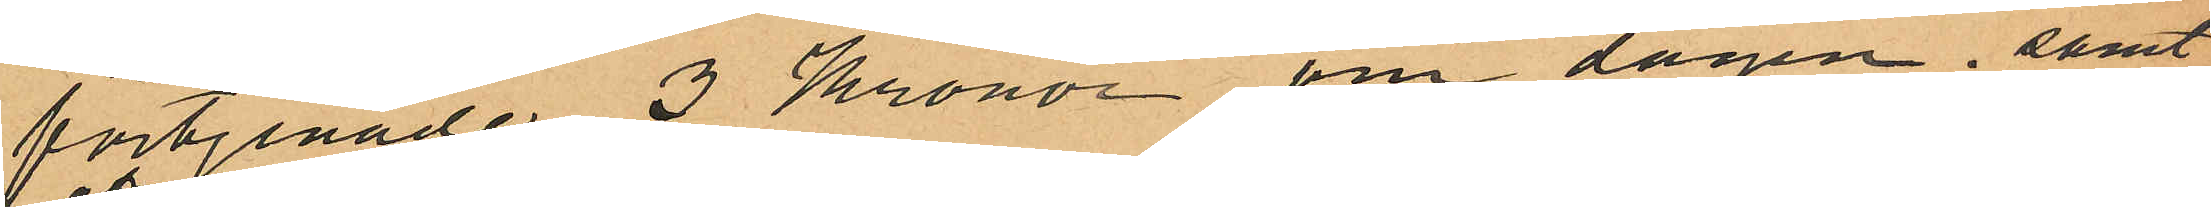förtjenade 3 Kronor om dagen samt
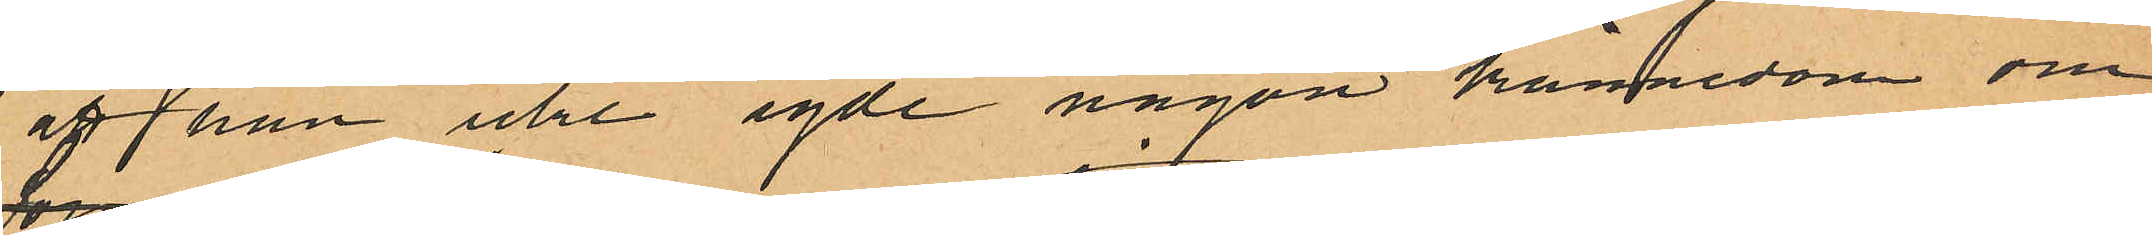att han icke egde någon kännedom om
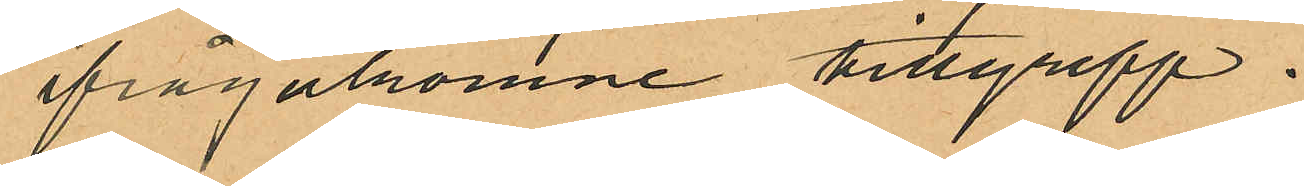ifrågakomne tillgrepp.
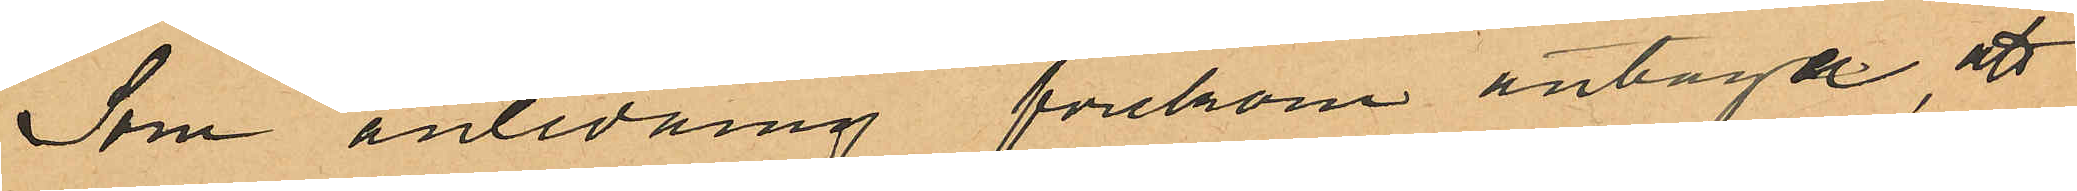Som anledning förekom antaga, att
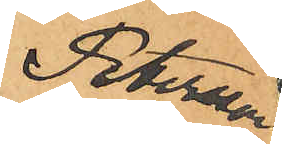Petersson
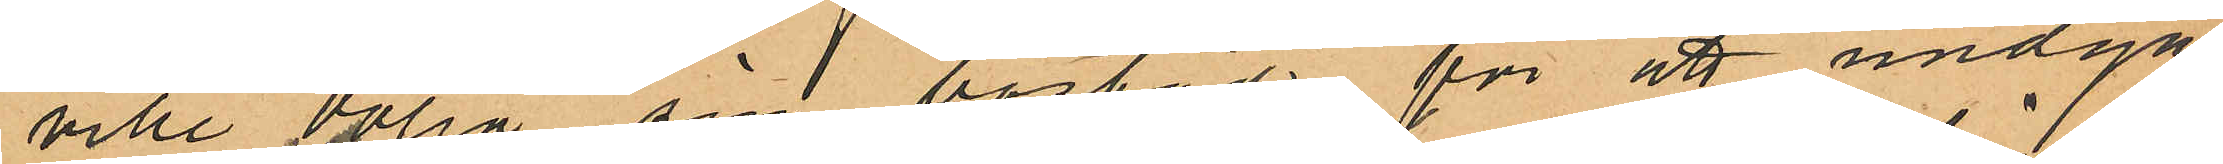ville dölja sin bostad för att undgå
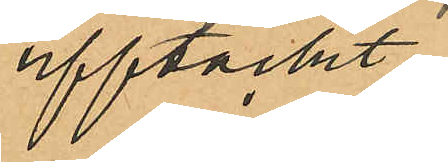upptäckt
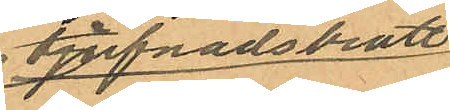tjufnadsbrott
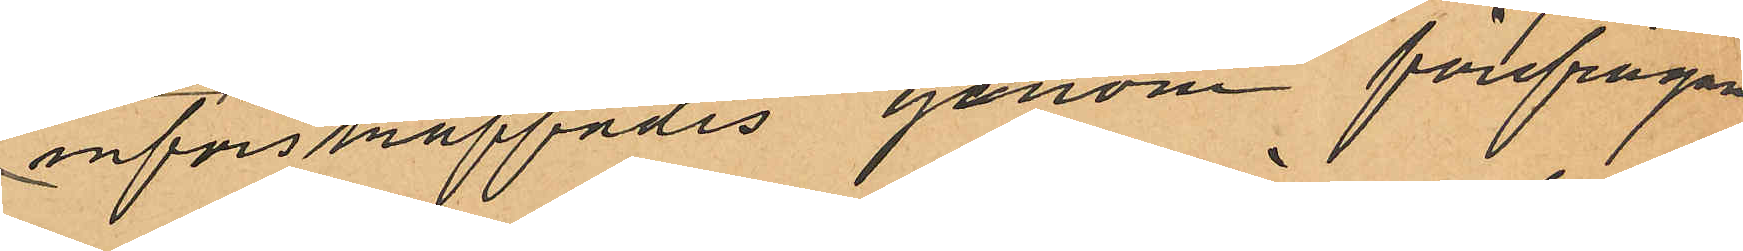införskraffades genom förefrågan
